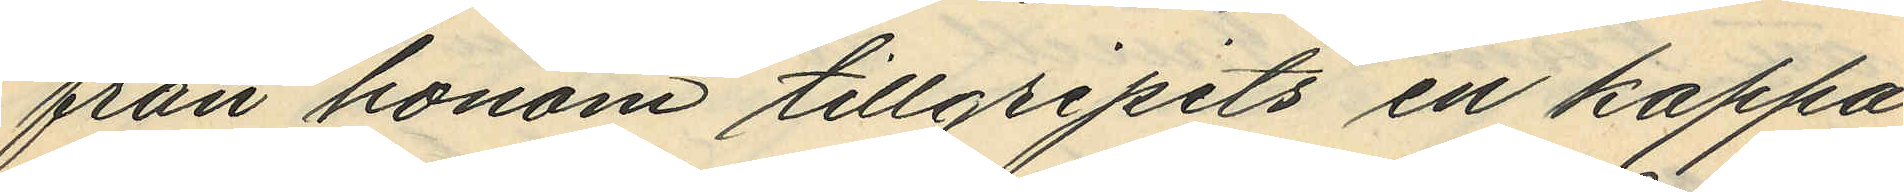från honom tillgripits en kappa
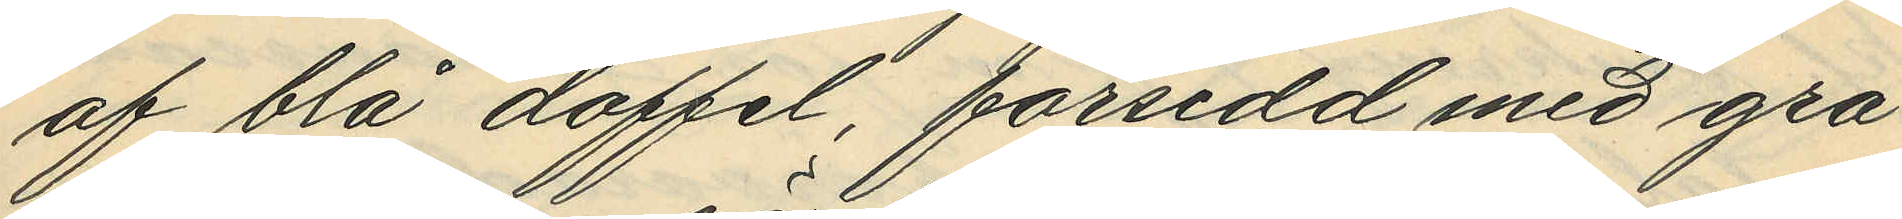af blå doffel, försedd med grå
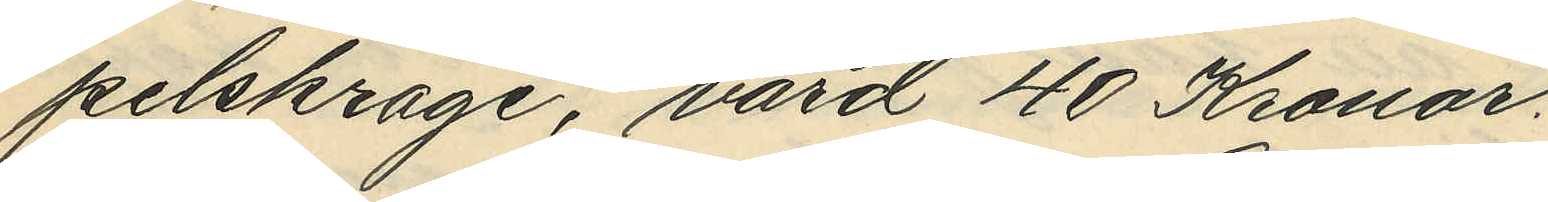pelskrage, värd 40 Kronor.
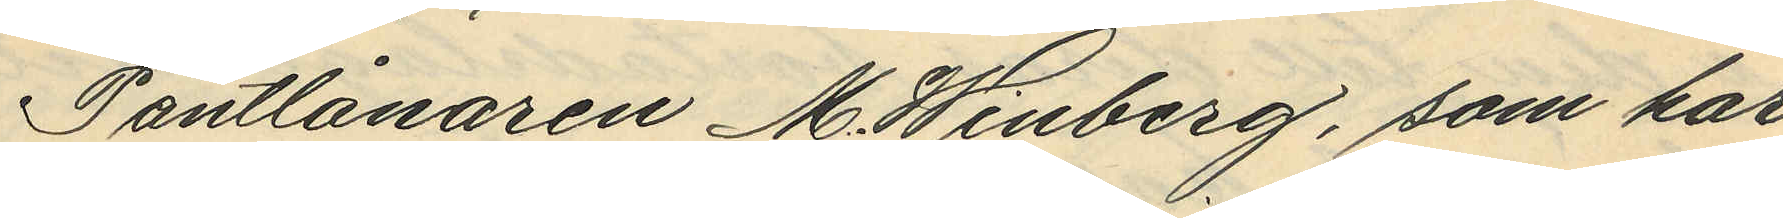Pantlånaren M. Winberg, som har
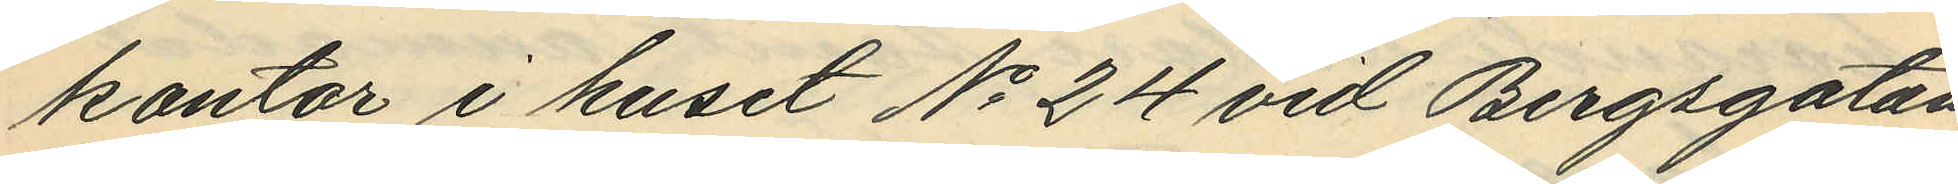kontor i huset No 24 vid Bergsgatan,
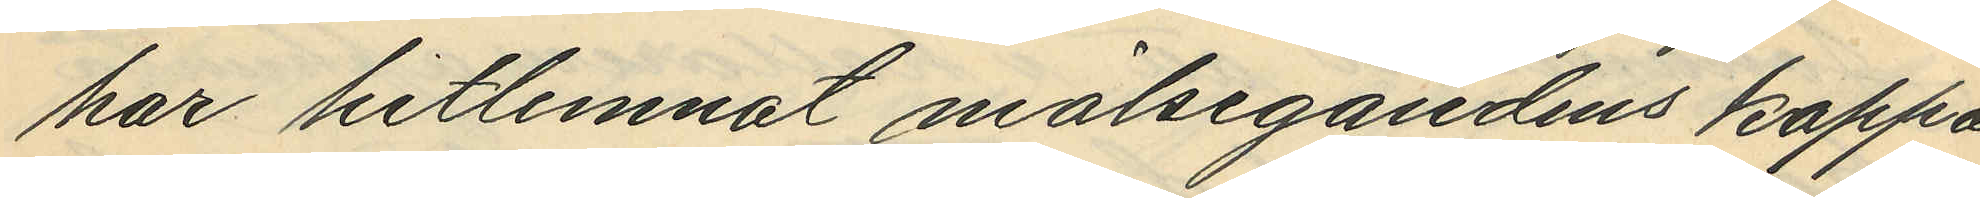har hitlemnat målsegandens kappa
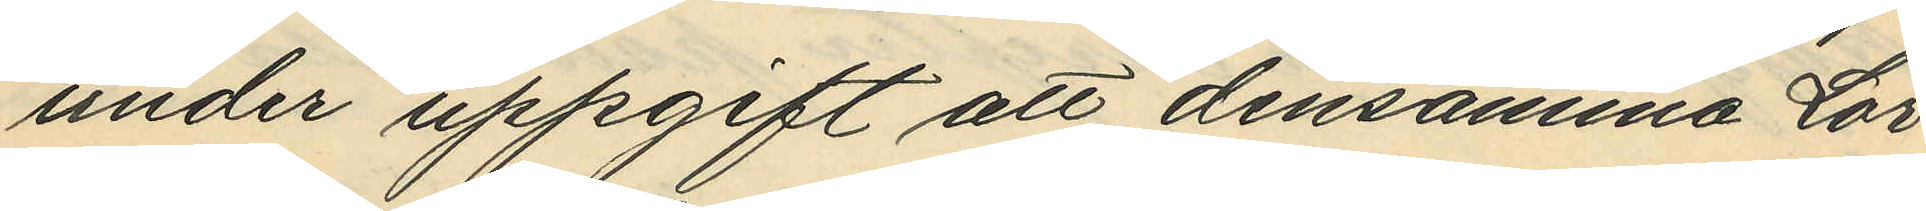under uppgift att densamma Lör¬
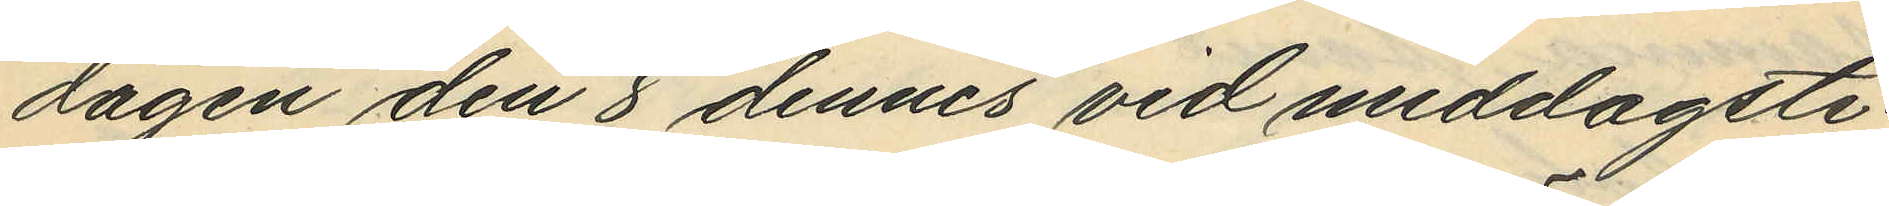dagen den 8 dennes vid middagsti¬
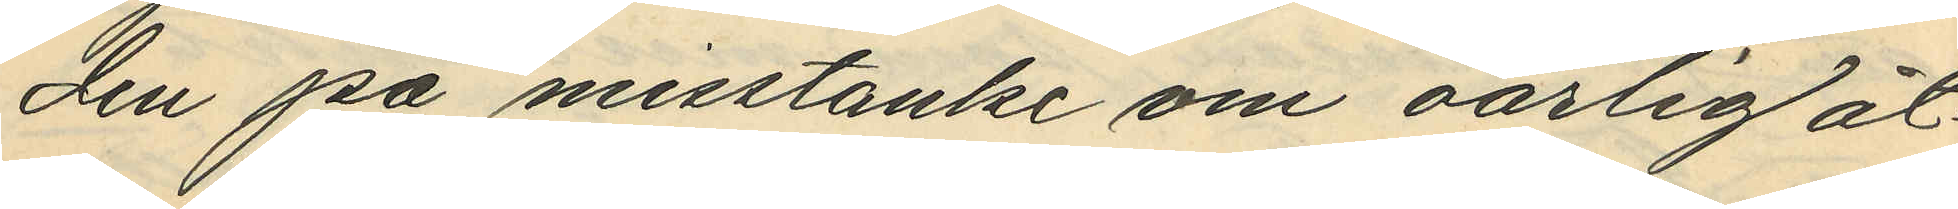den på misstanke om oärlig åt¬
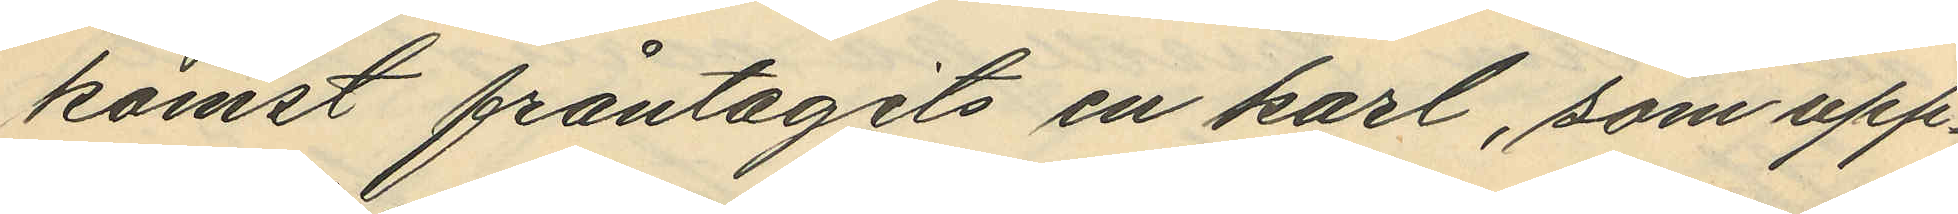komst fråntagits en karl, som upp¬
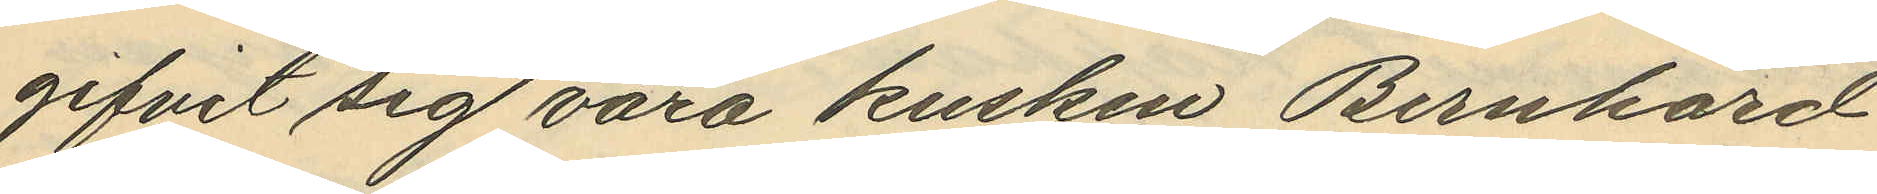gifvit sig vara kusken Bernhard
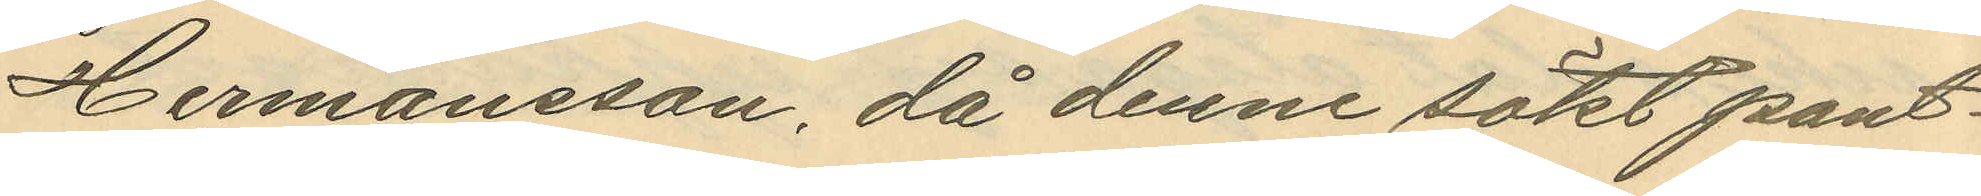Hermansson, då denne sökt pant¬
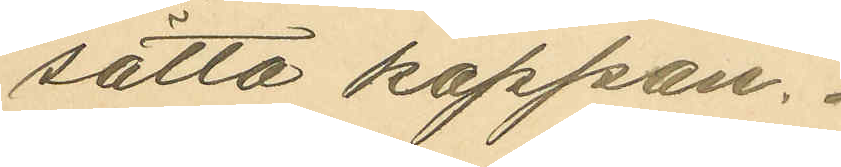sätta kappan.
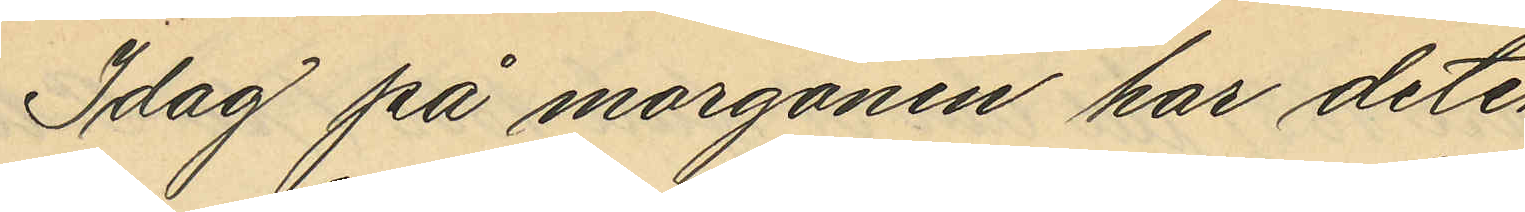Idag på morgonon har detek¬
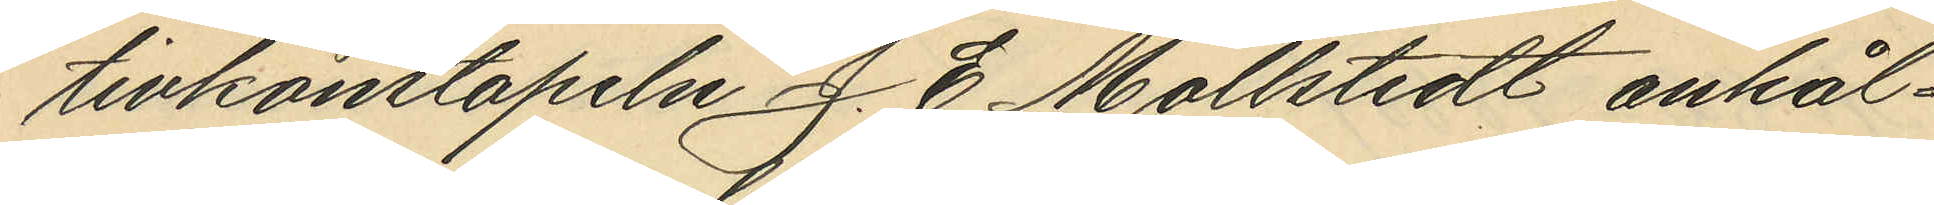tivkonstapeln J. E. Mollstedt anhål¬
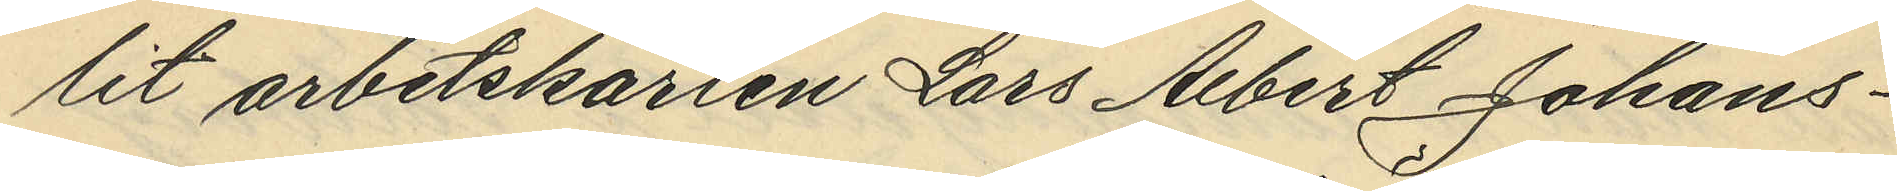lit arbetskarlen Lars Albert Johans¬
